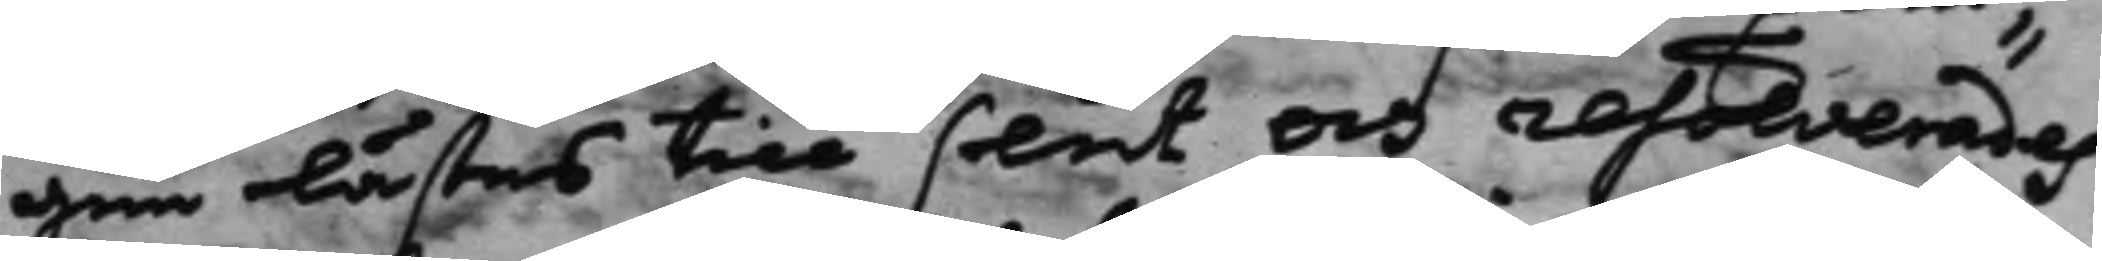gen lästes till slut, och resolverades,
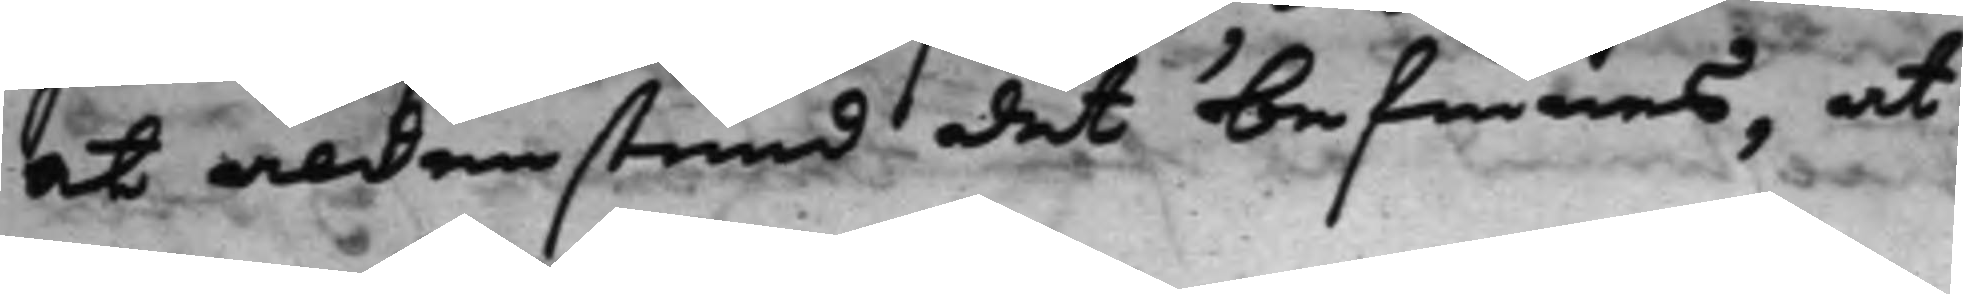at aldenstund det befinnes, at
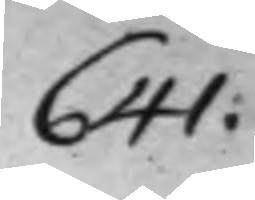641.
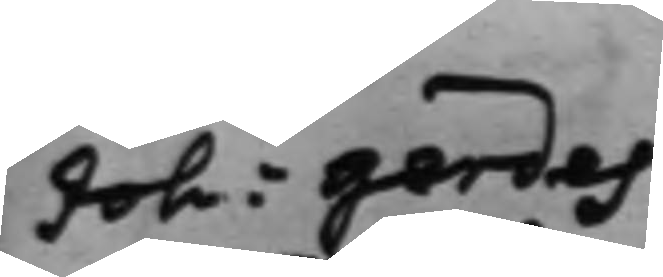Joh: Gerdes
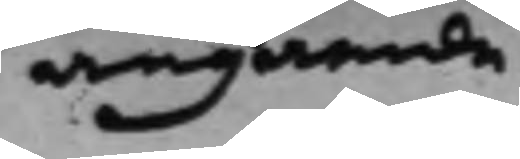angaende
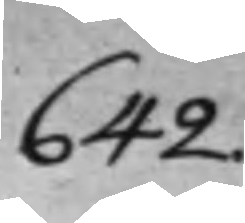642.
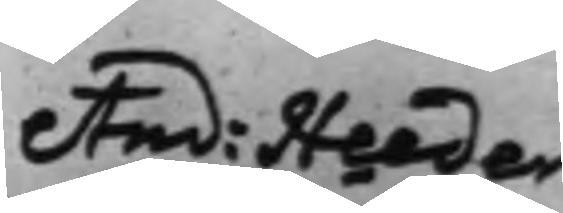And: Heeder¬
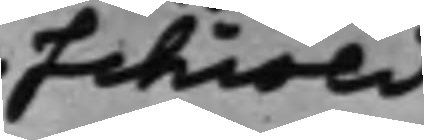schiöld
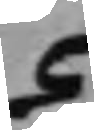C
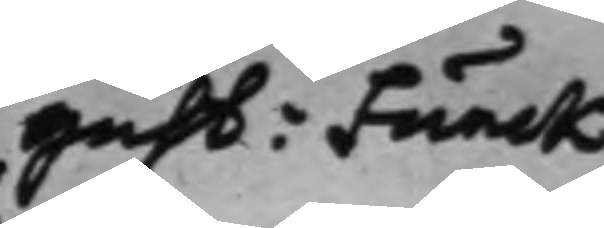Gust: Funck
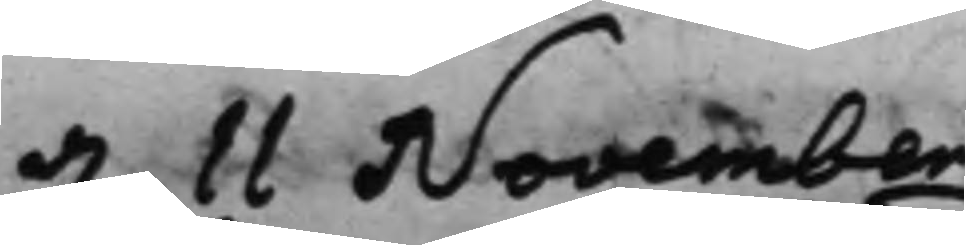d. 11 November
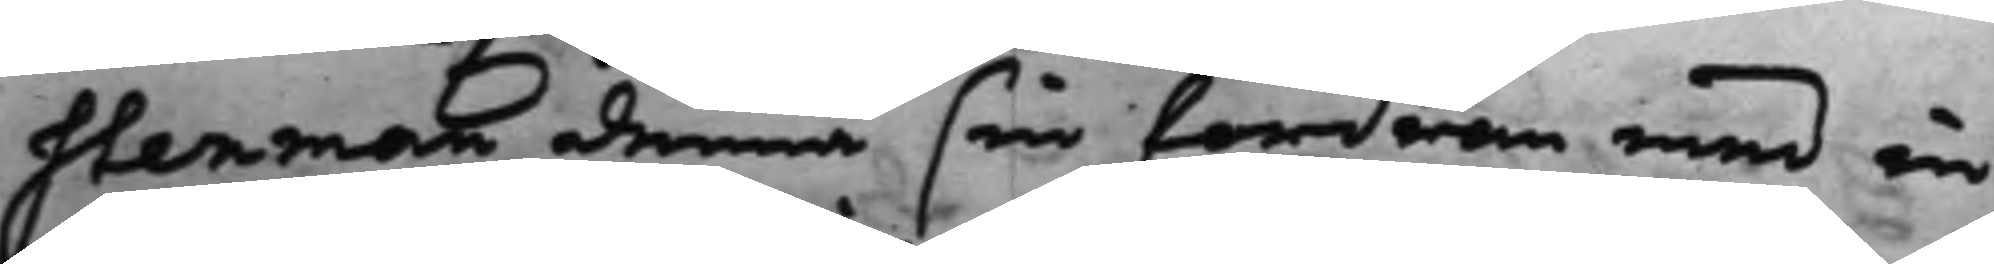Stenman denna sin fordran med in¬
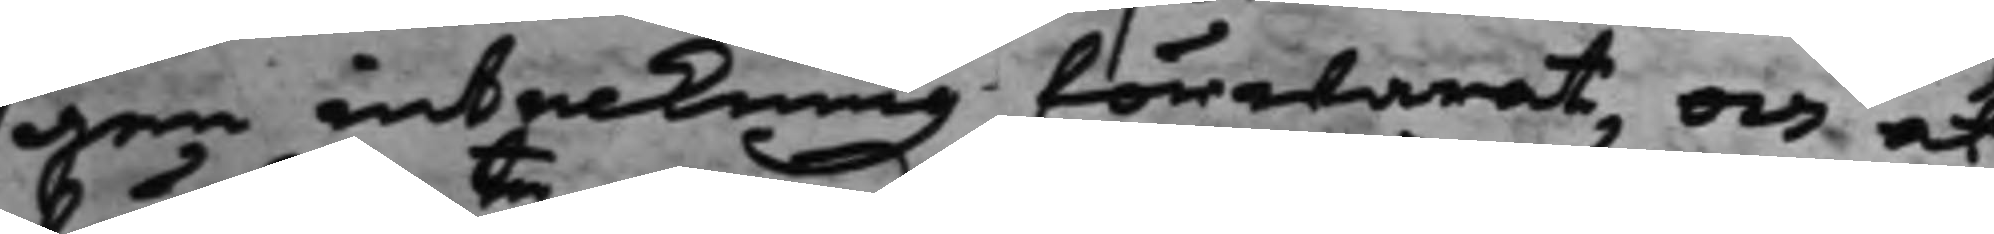gen inteckning förwarat, och at
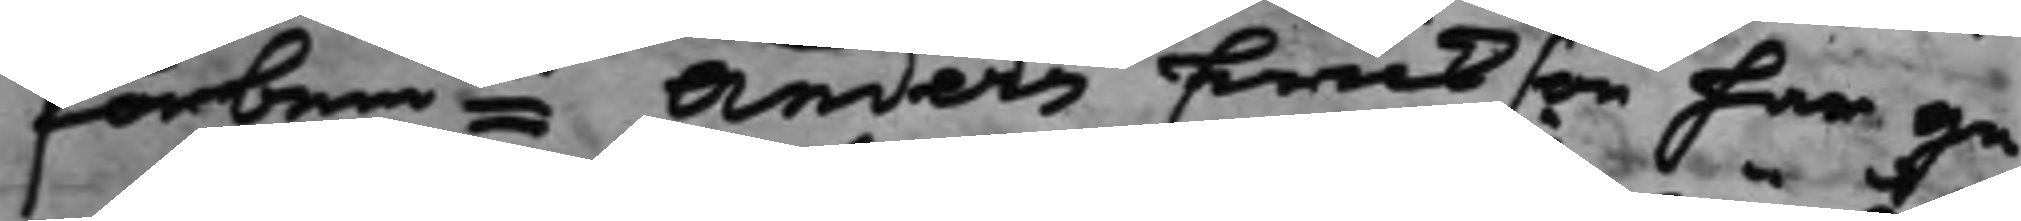förbemte Anders Erickson har ge¬
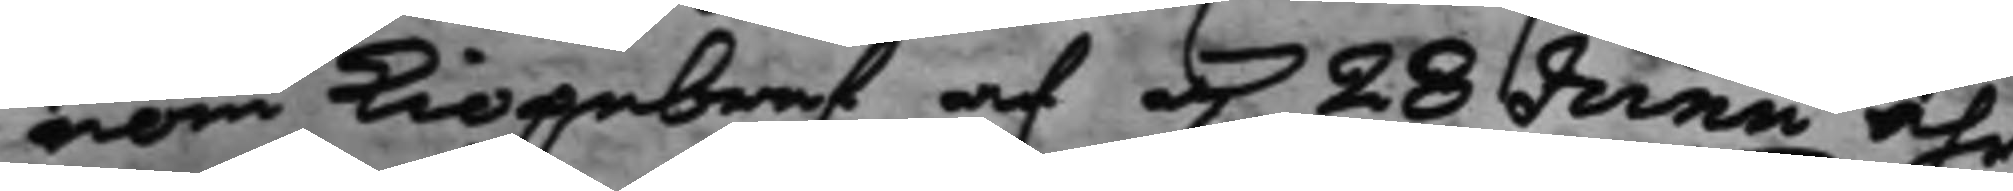nom kiöpebref af d. 28 Junii åhr
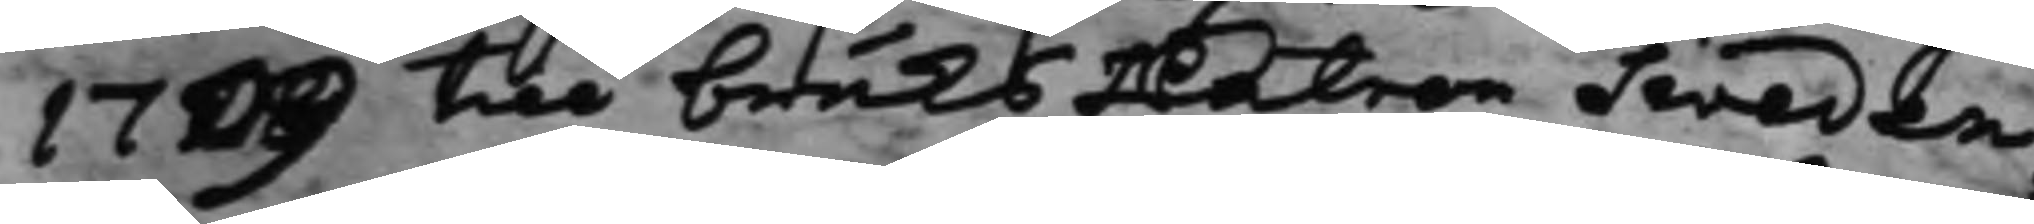1709 till bruksPatron Sweden¬
